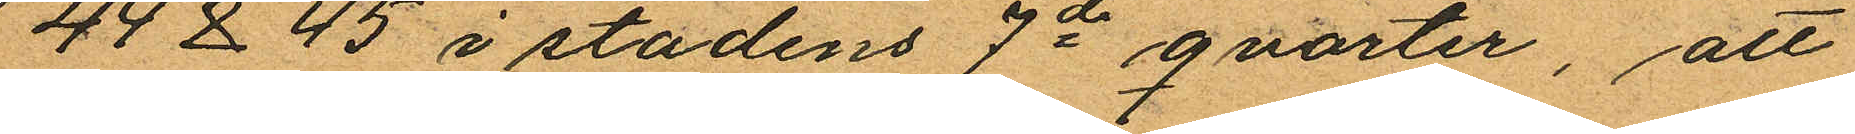44 & 45 i stadens 7de qvarter, att
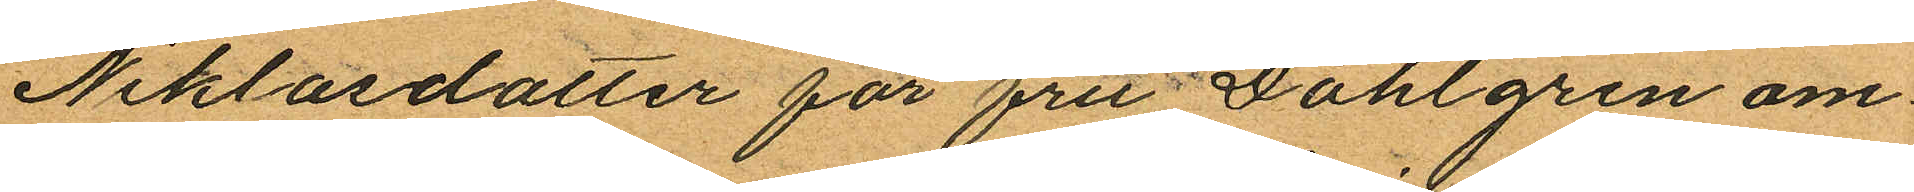Niklasdotter för fru Dahlgren om¬
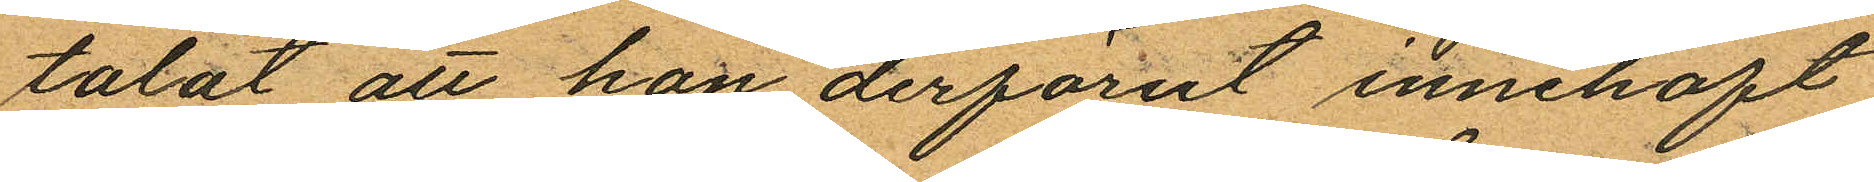talat att hon derförut innehaft
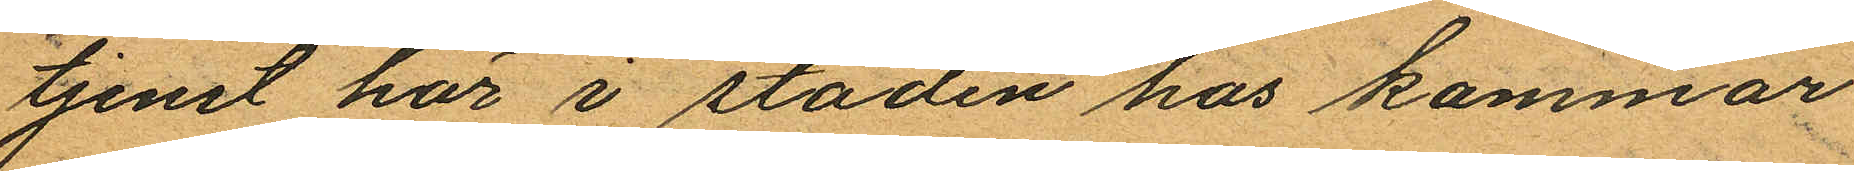tjenst här i staden hos kammar¬
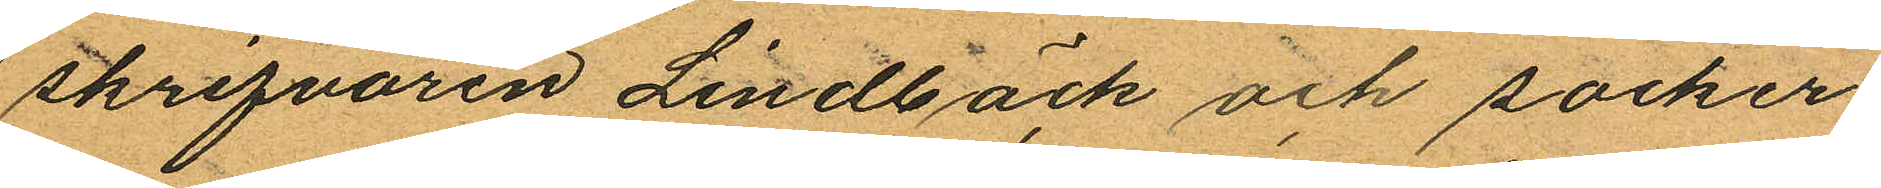skrifvaren Lindbäck och socker¬
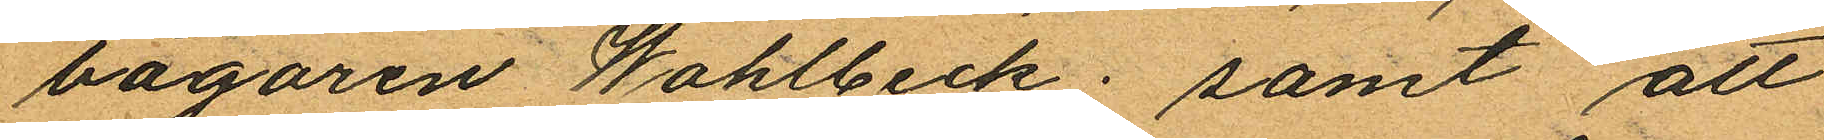bagaren Wahlbeck; samt att
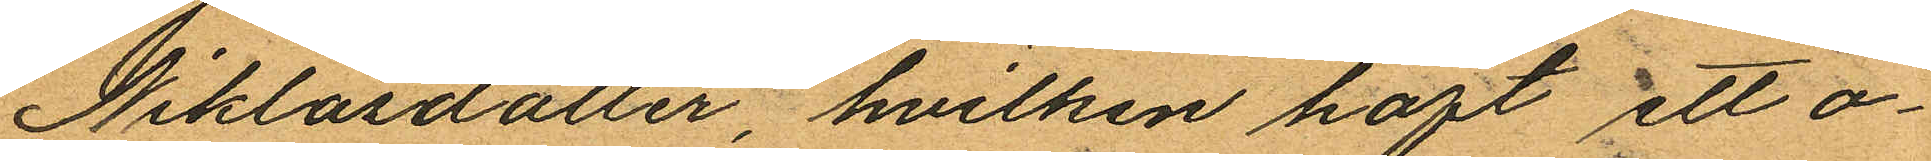Niklasdotter, hvilken haft ett o¬
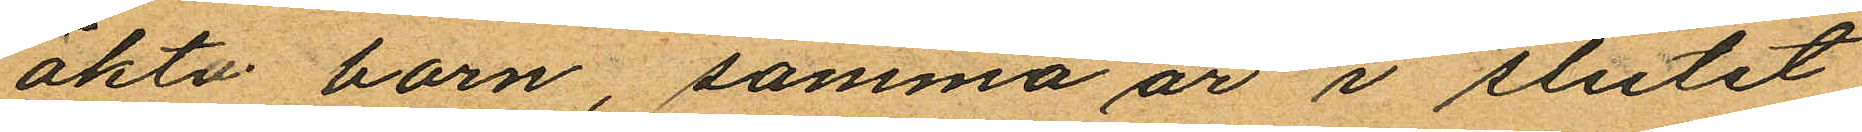äkta barn, samma år i slutet
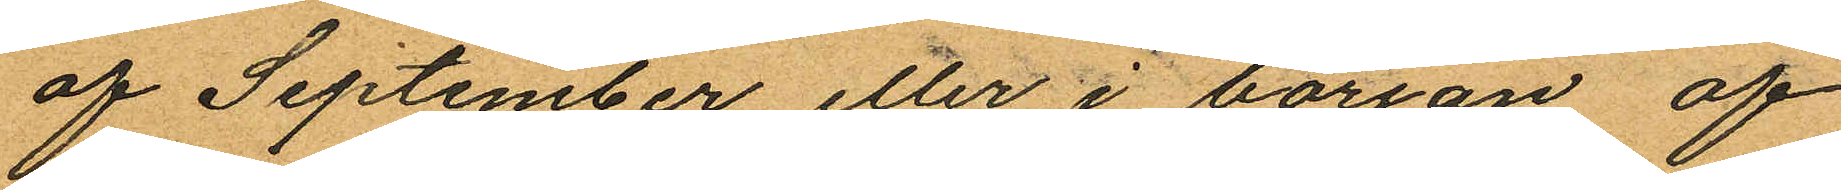af September eller i början af
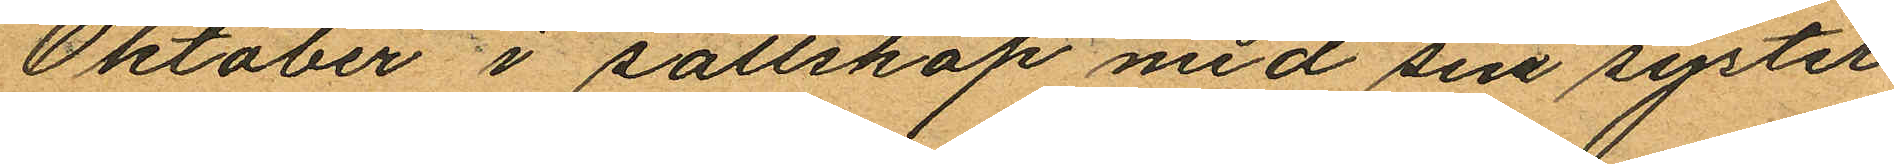Oktober i sällskap med sin syster
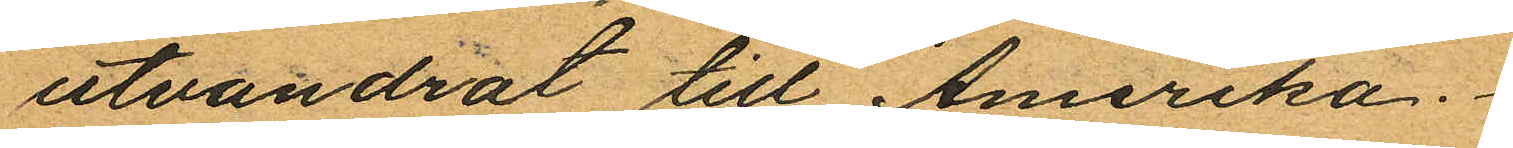utvandrat till Amerika.
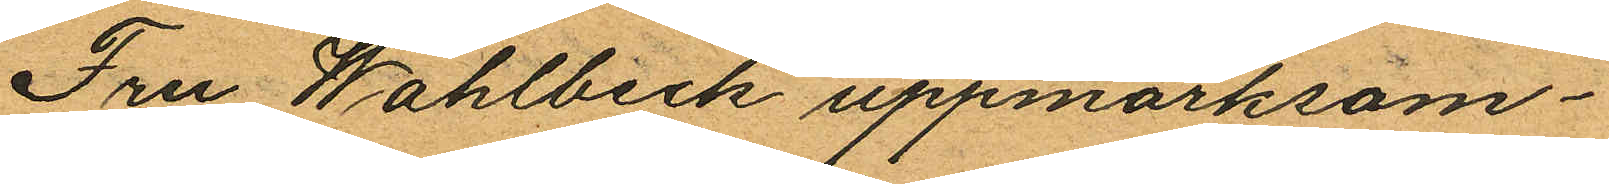Fru Wahlbeck uppmärksam¬
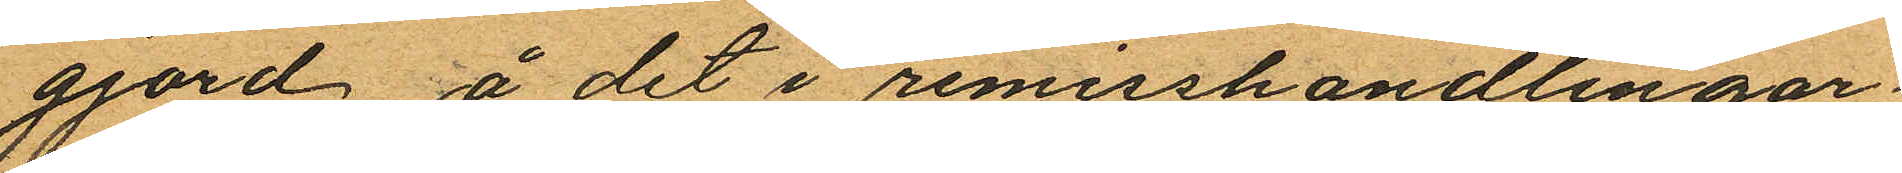gjord å det i remisshandlingar¬
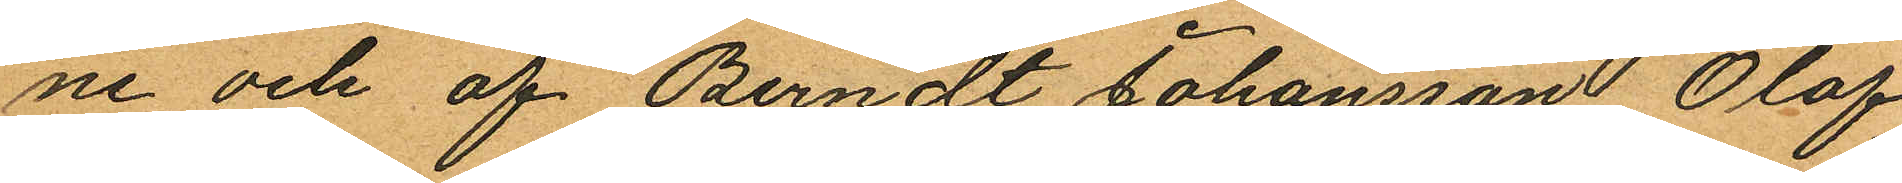ne och af Berndt Johansson, Olof
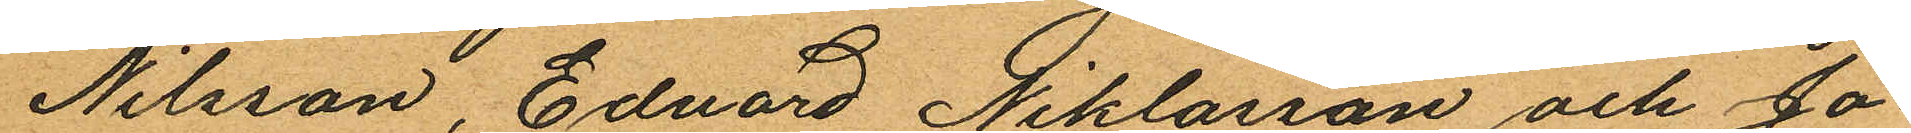Nilsson, Eduard Niklasson och Jo¬
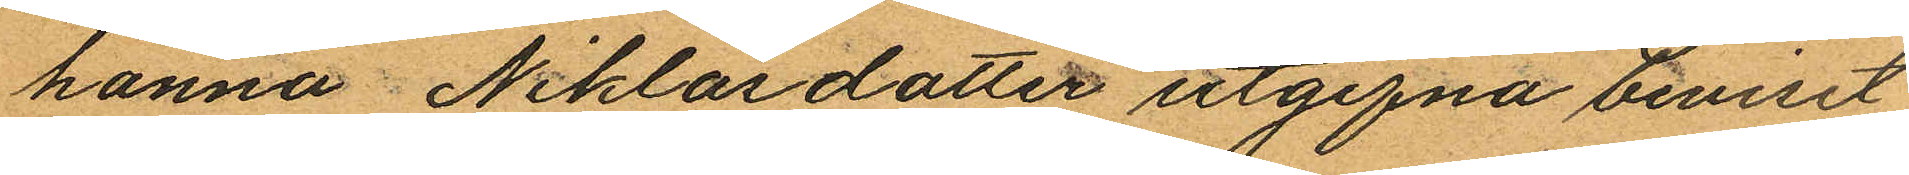hanna Niklasdotter utgifna beviset
